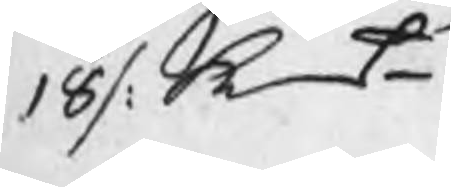18 /: kmt
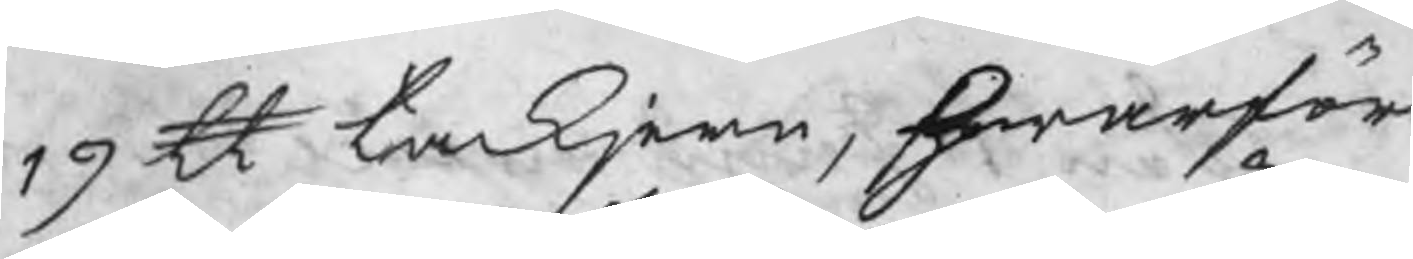19 ℔ tackjern, hwarföre
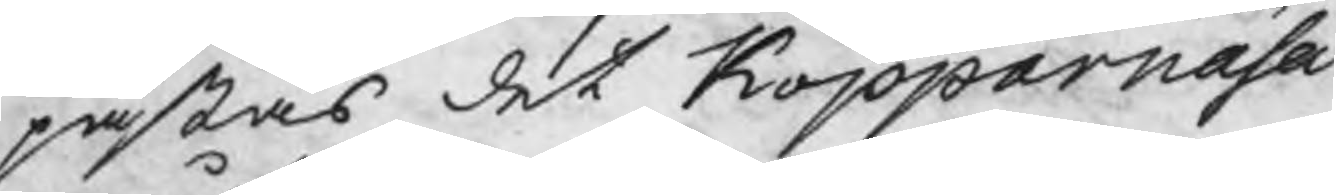påstås det Kopparnäsa
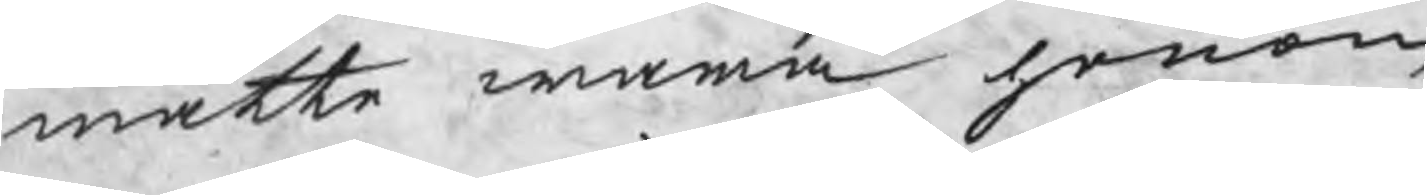måtte wara honom
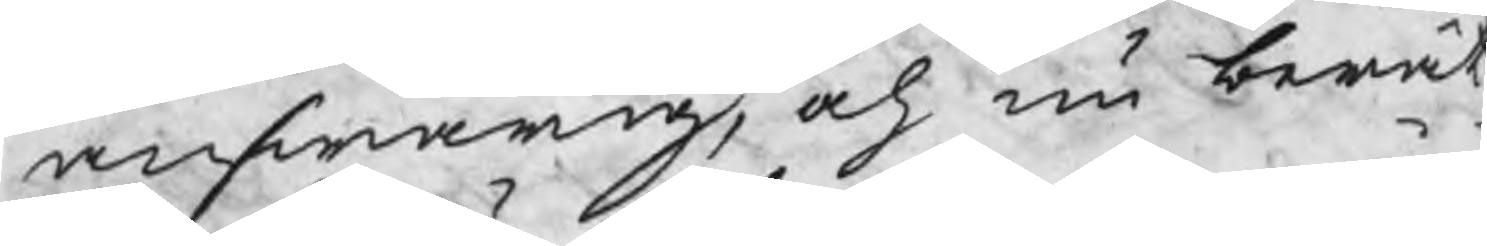answarig, och nu berät
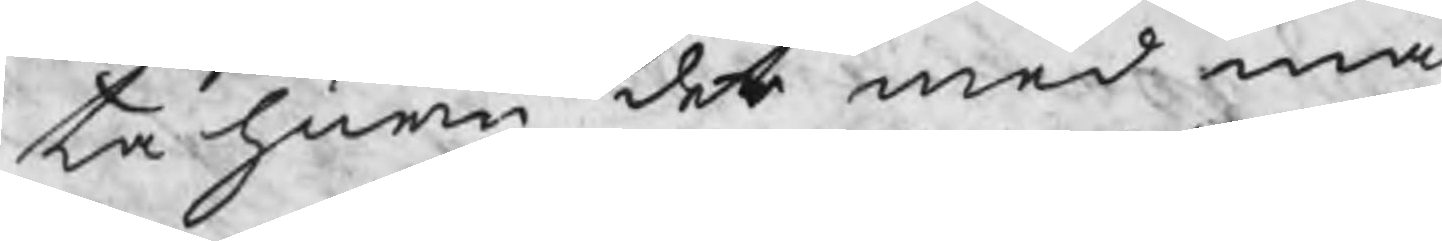ta huru det med må
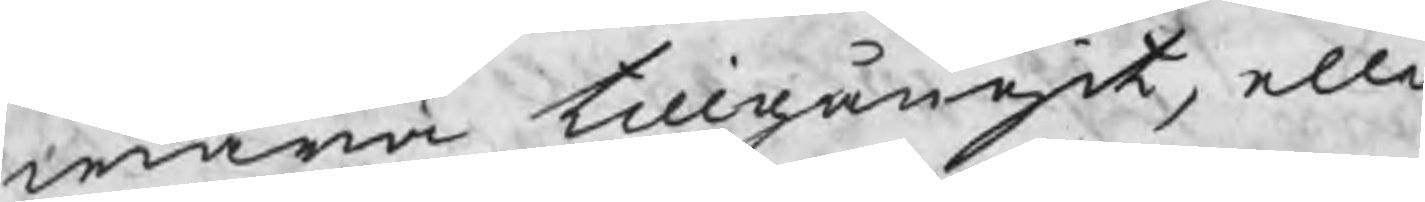wara tillgångit, elle
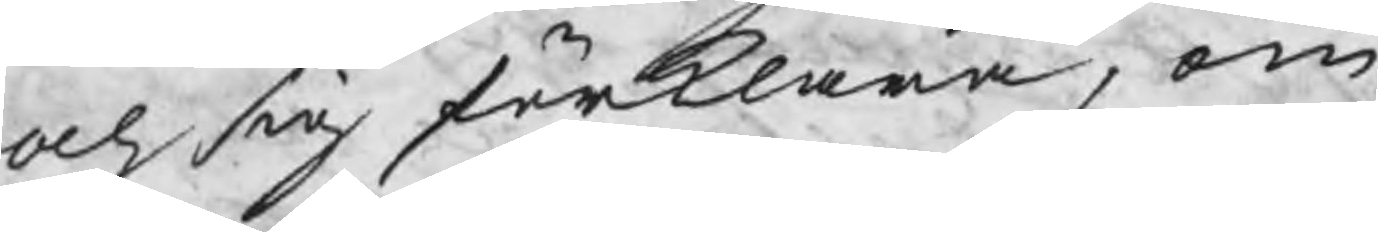och sig förklara, om
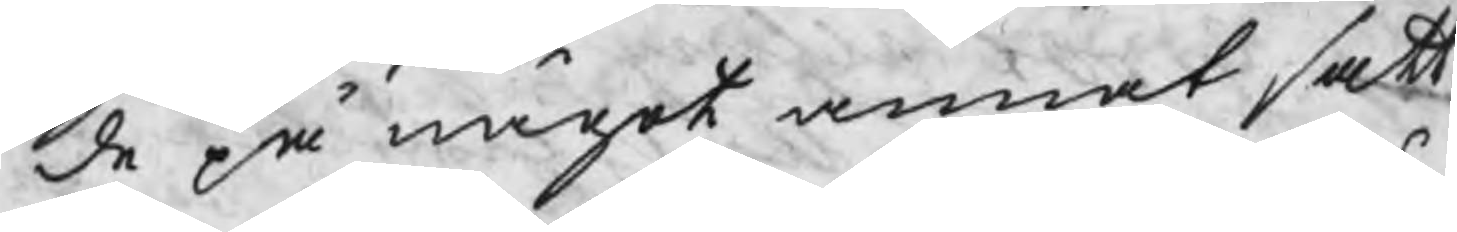de på något annat sätt
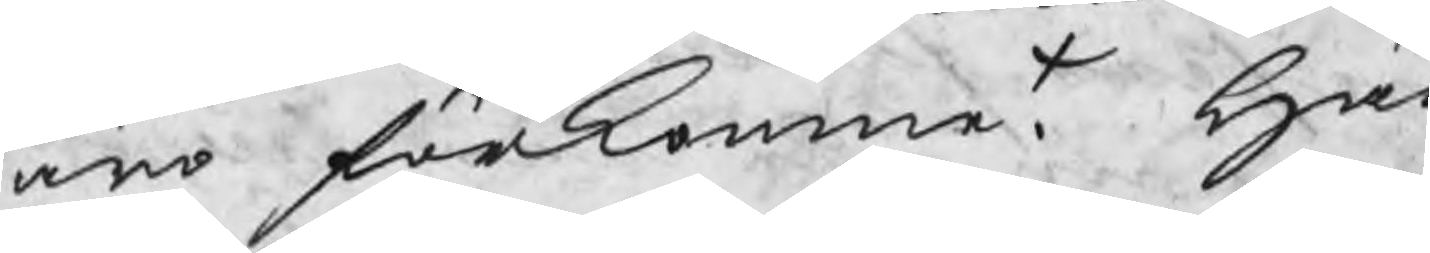äro förkomne. Här
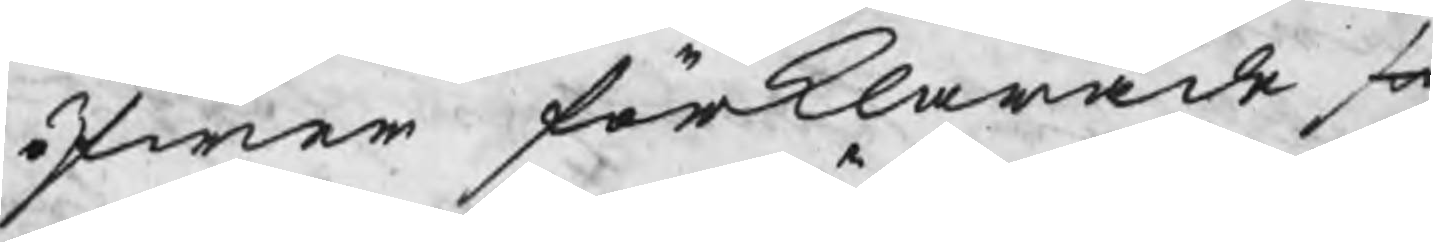öfwer förklarade sig
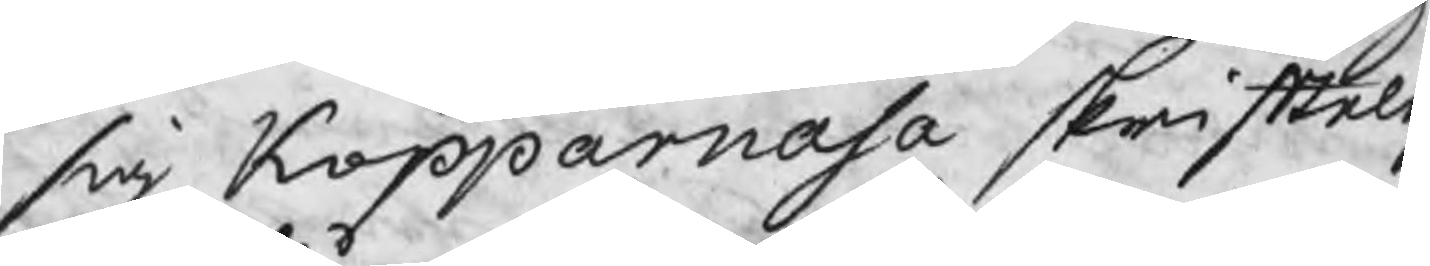sig Kopparnäsa skrifteli
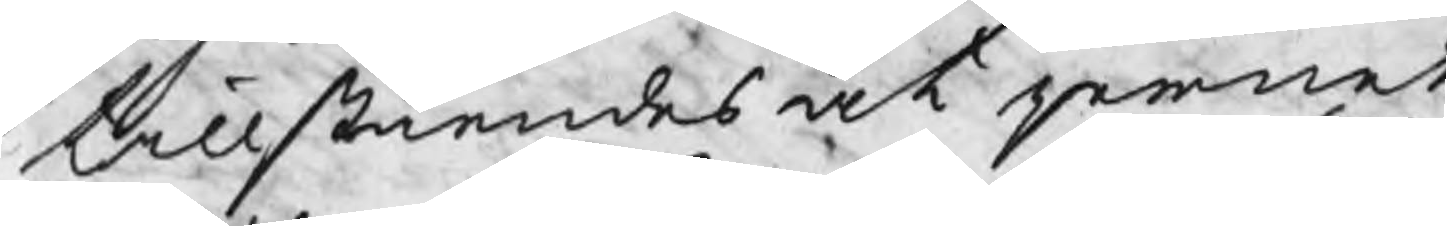tillståendes det jernet
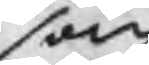som
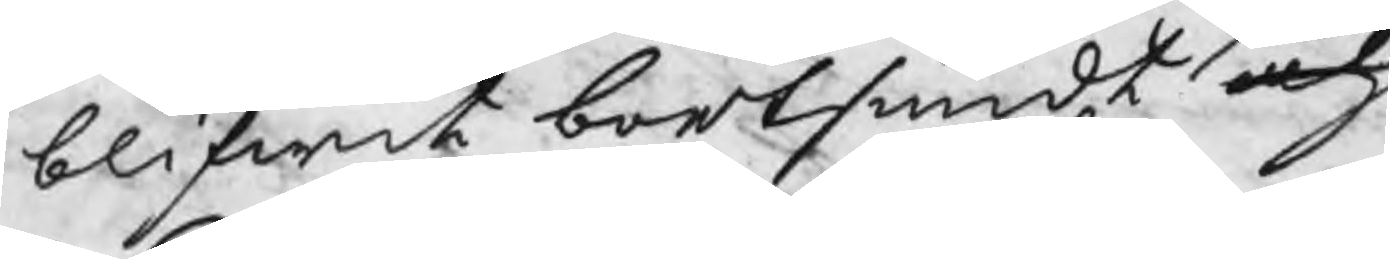blifwit bortsmidt och
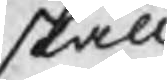skall
